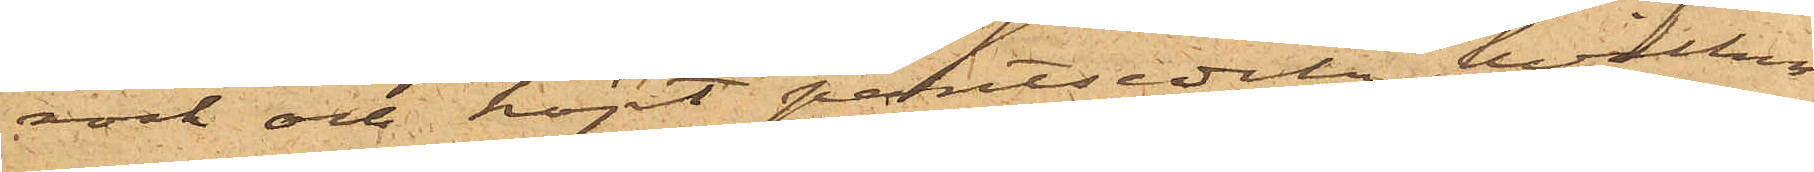rock och köpt pantsedeln, hvilken
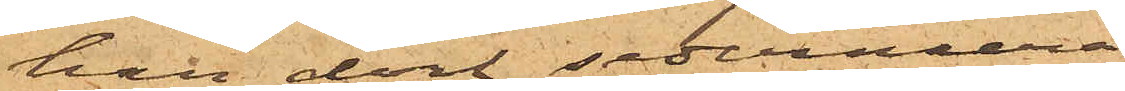han dock sedermera
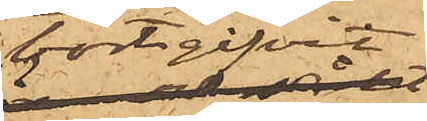bortgifvit
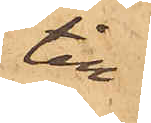till
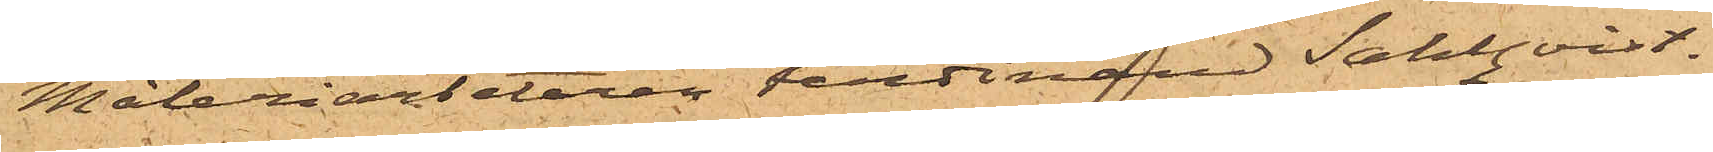Måleriarbetaren Ferdinard Sahlqvist.
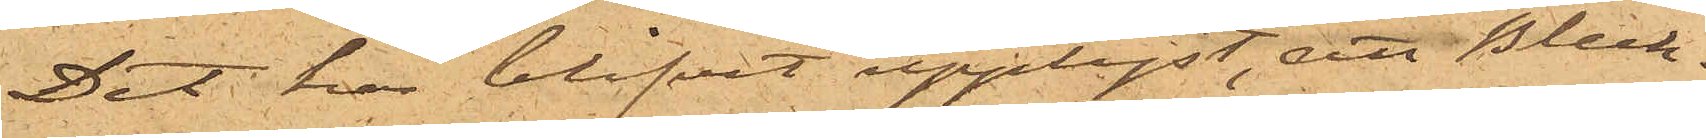Det har blifvit upplyst, att Bleck¬
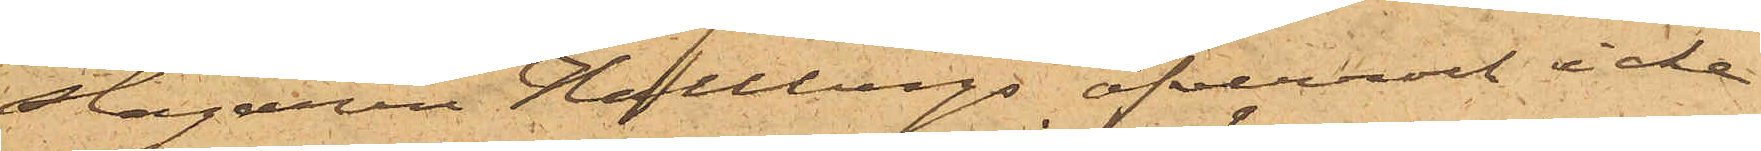slagaren Hallbergs öfverrock icke
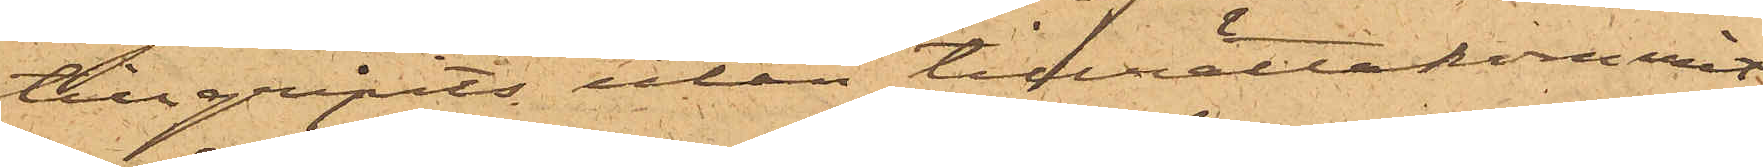tillgripits utan tillrättakommit.
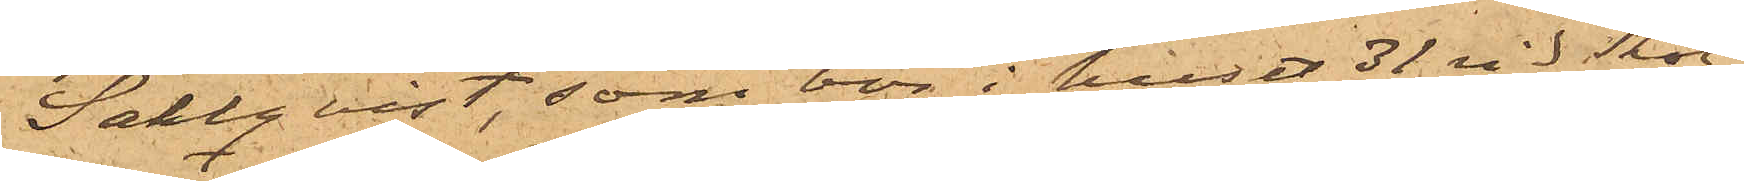Sahlqvist, som bor i huset 31 vid Skol¬
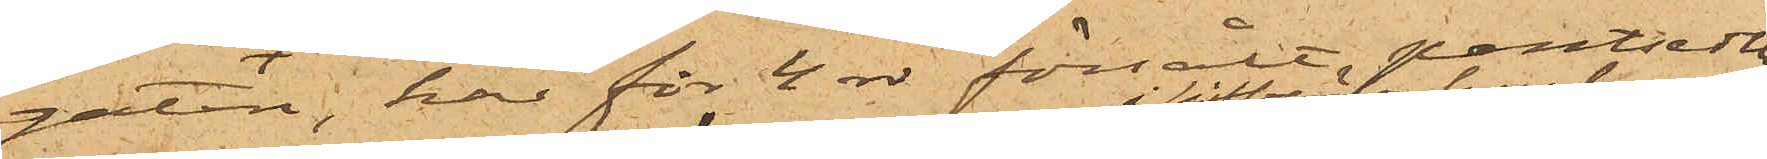gatan, har för 4 rdr försålt pantsedlen
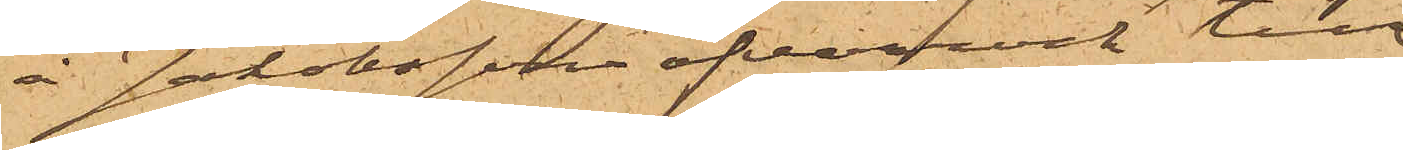å Jakobsson öfverrock till
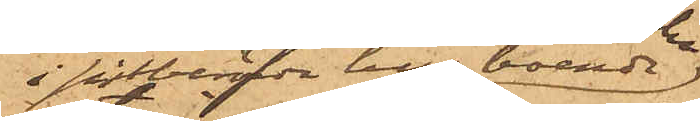i sistberörde hus boende
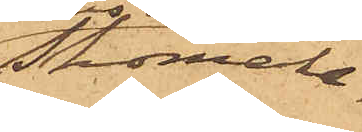Skomake¬
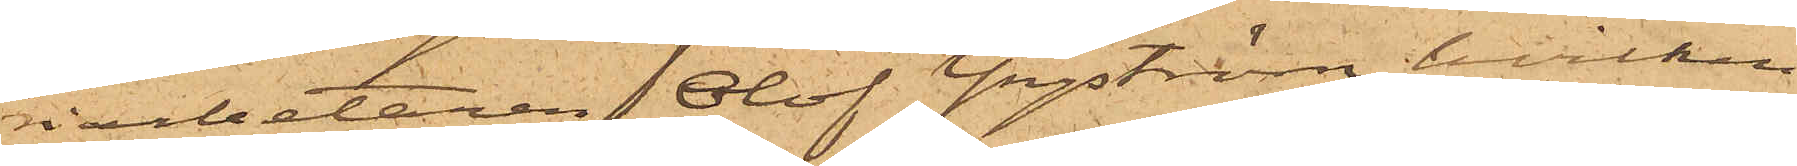riarbetaren Olof Yngström, hvilken
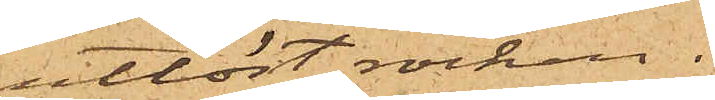utlöst rocken.
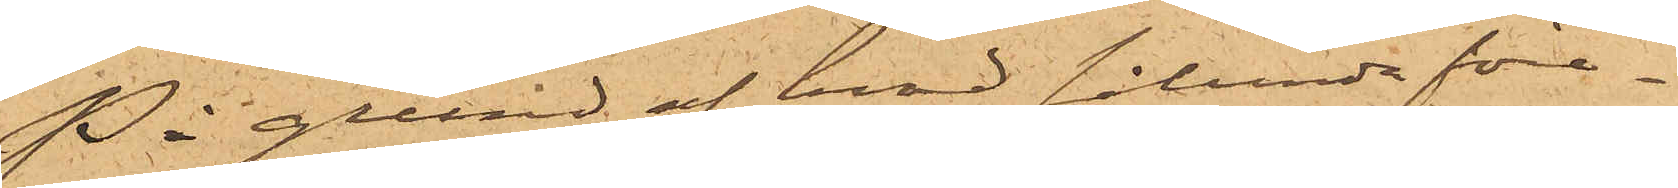På grund af hvad sålunda före¬
